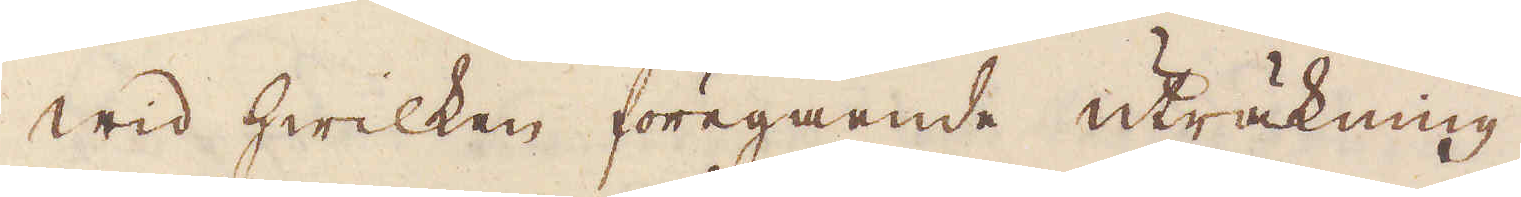wid hwilken föregående uträkning
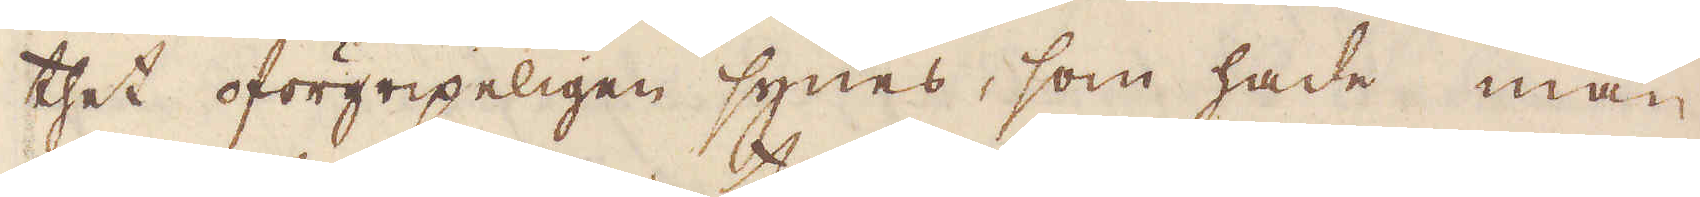thet oförgripeligen synes, som hade man
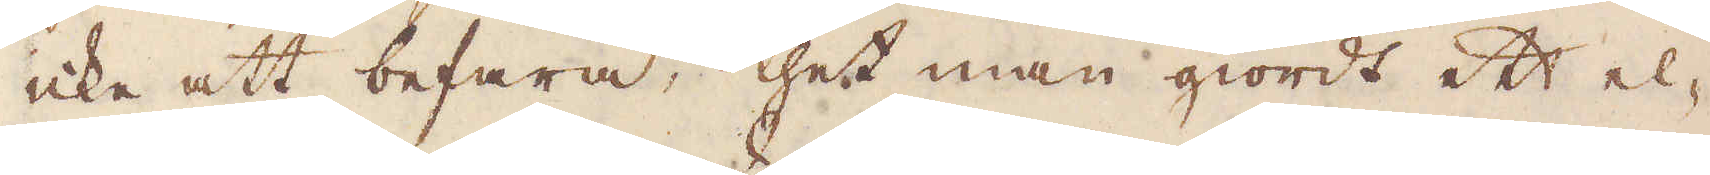icke att befara, thet man giordt ett el-
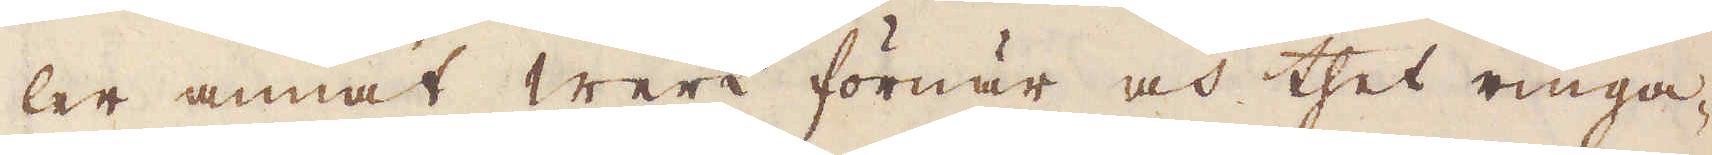ler annat werk förnär och thet ringa-
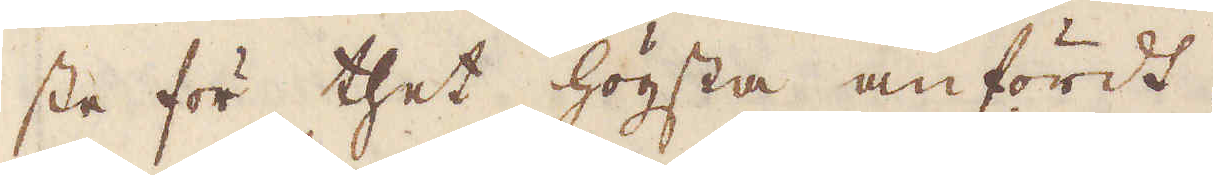ste för thet högsta anfördt.
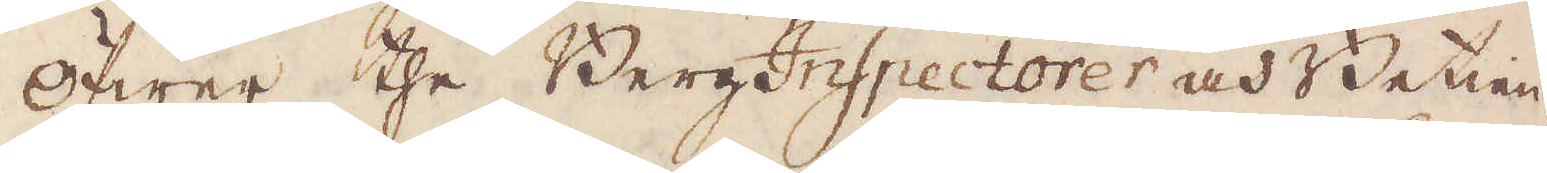Öfwer the BergInspectorer och Betien-
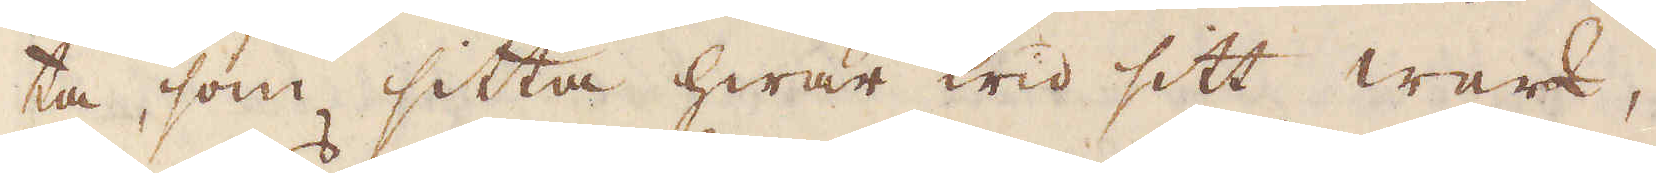ta, som sitta hwar wid sitt werk,
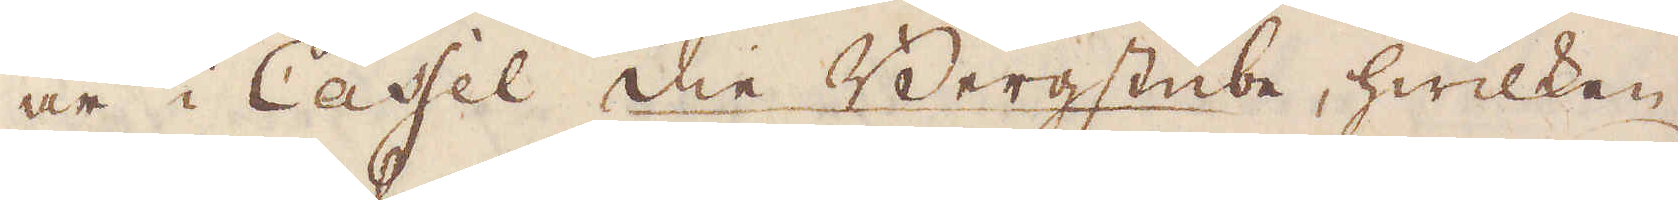är i Cassel Die Bergstübe, hwilken
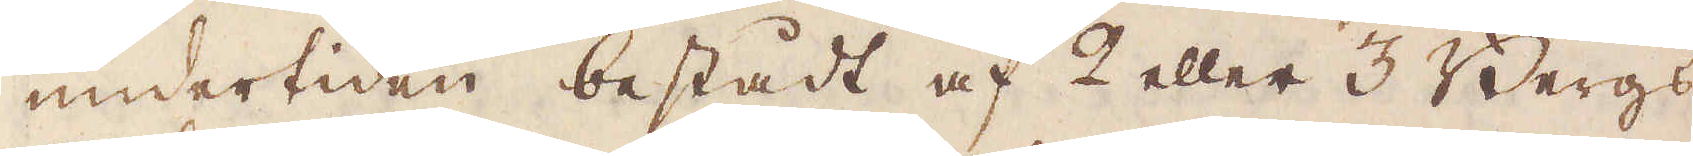undertiden bestådt af 2 eller 3 Bergs-
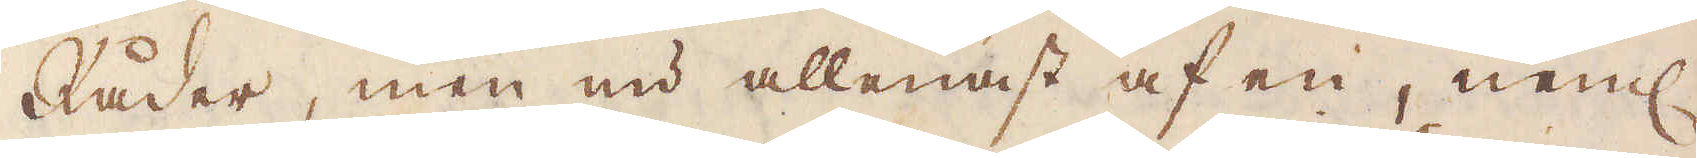Råder, men nu allenast af en, neml.
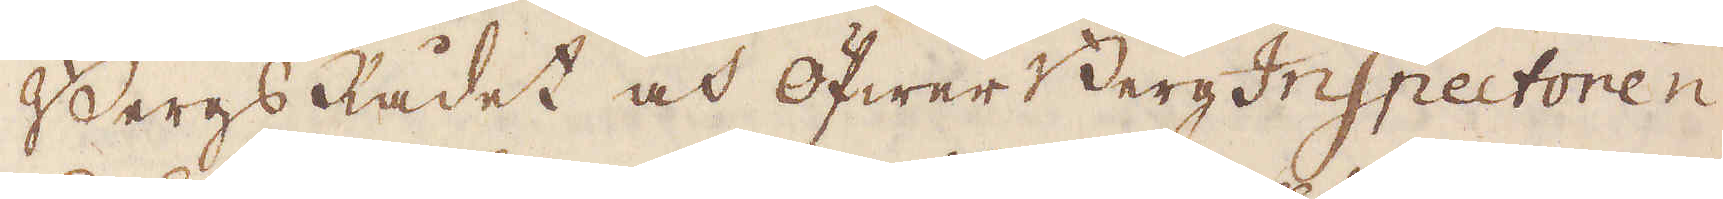Bergsådet och öfwer Berg Inspectoren
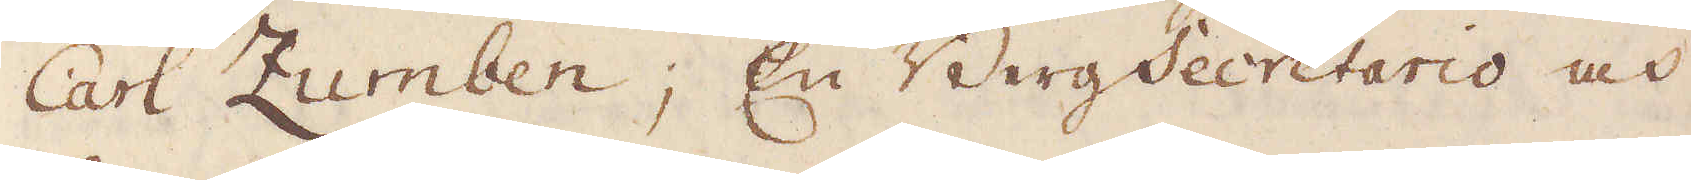Carl Zumben; En BergSecretario och
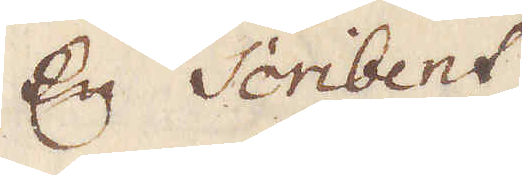En Scribent.
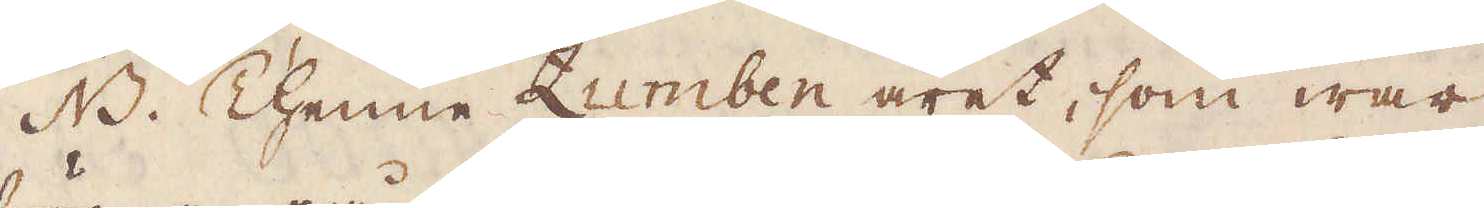NB. Thenne Zumben äret, som war
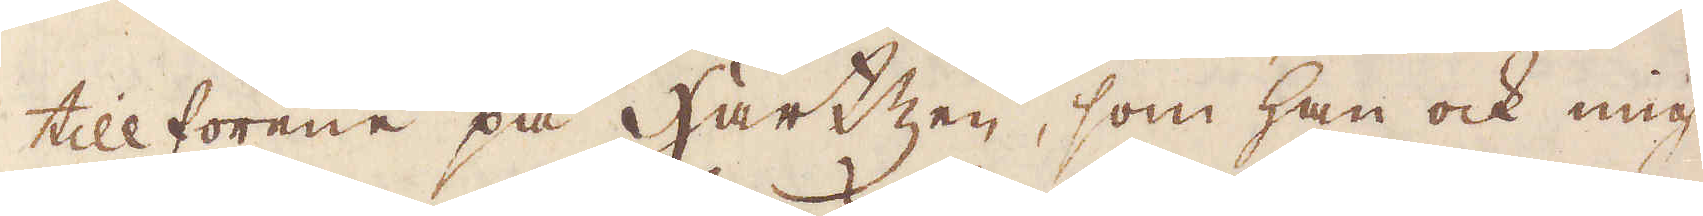tillförene på Hartzen, som han ock mig
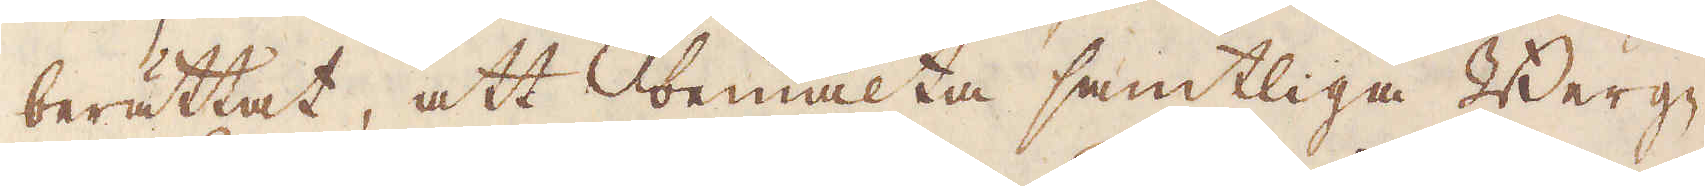berättat, att bemälta samtliga Berg-
